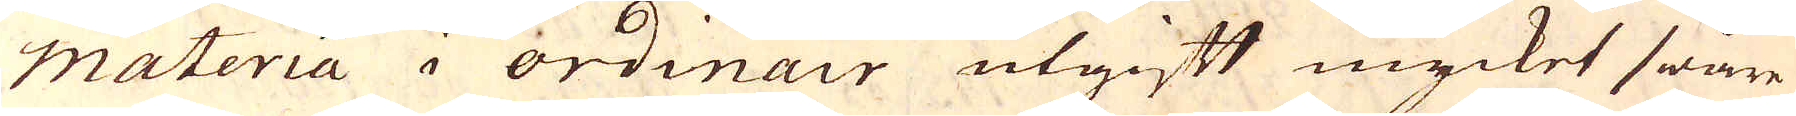materia i ordinair utgift mycket swåre
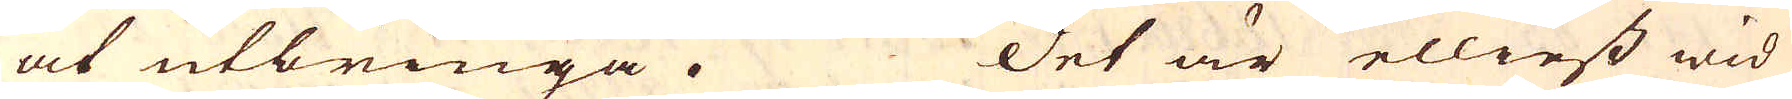at utbringa. Det är elliest wid
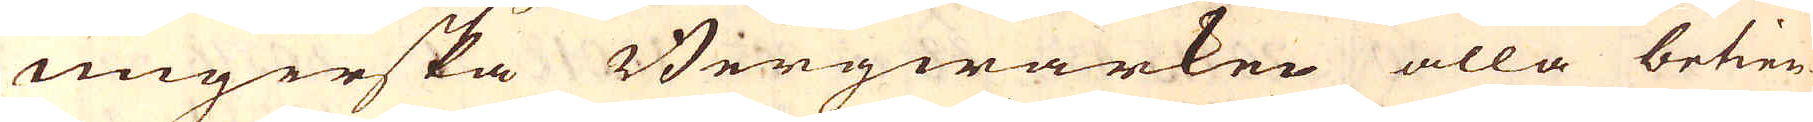ungerska Bergwärken alla betien-
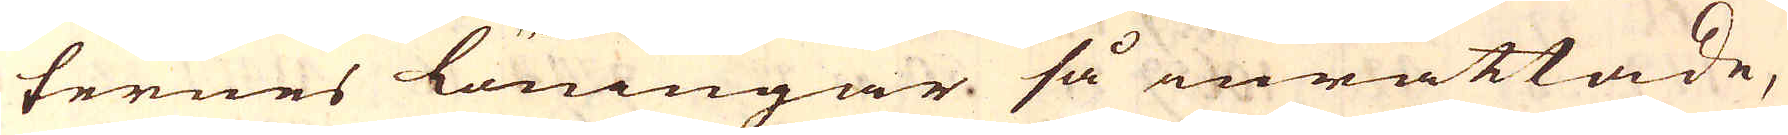ternes löningar så inrättade,
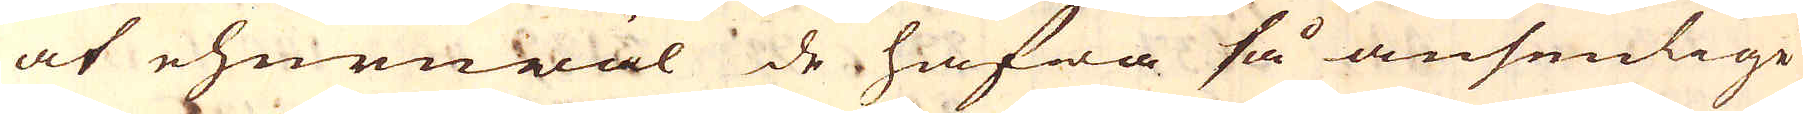at ehuruwäl de hafwa så ansenlige
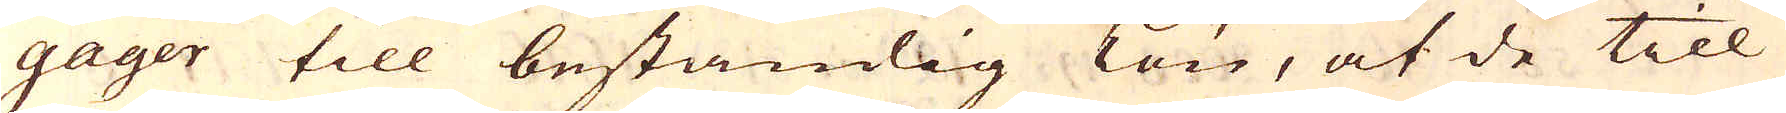gager till beständig Lön, at de till
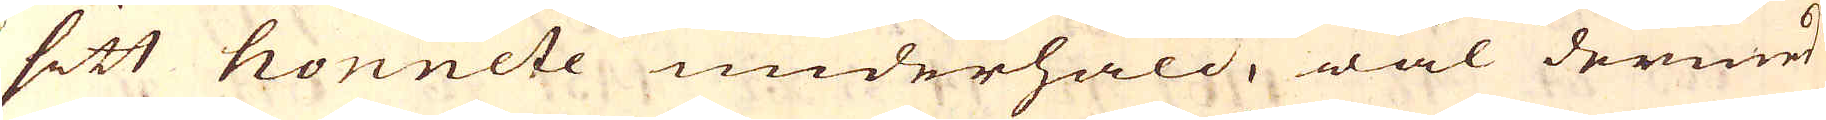sitt honnete underhåld, wäl dermed
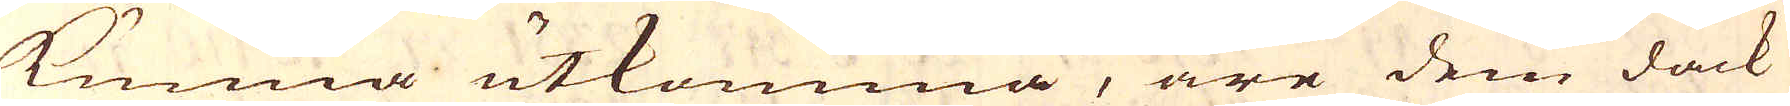kunna utkomma, äre dem dåck
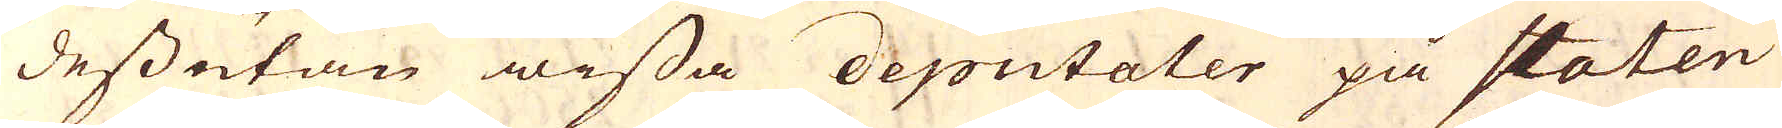dessutan wissa deputaler på staten
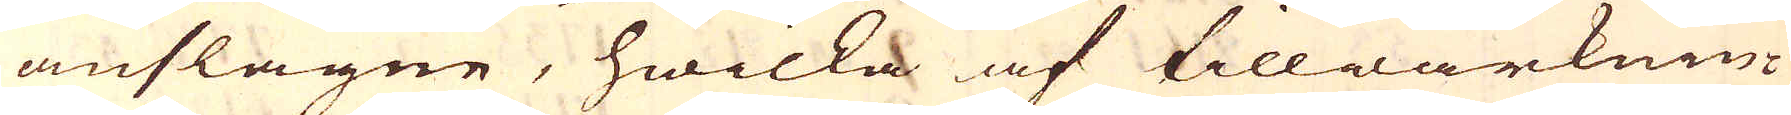anslagne, hwilka af tillwärknin-
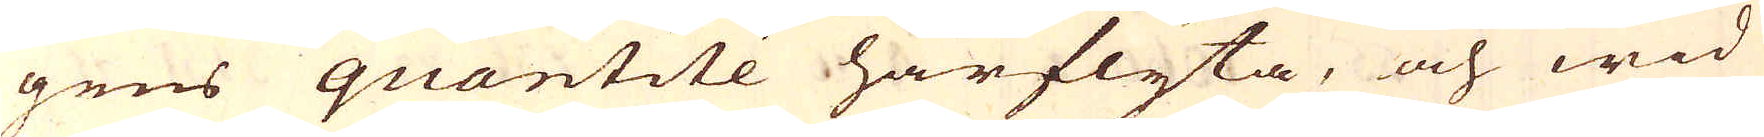gens quantité härflyta, och wid
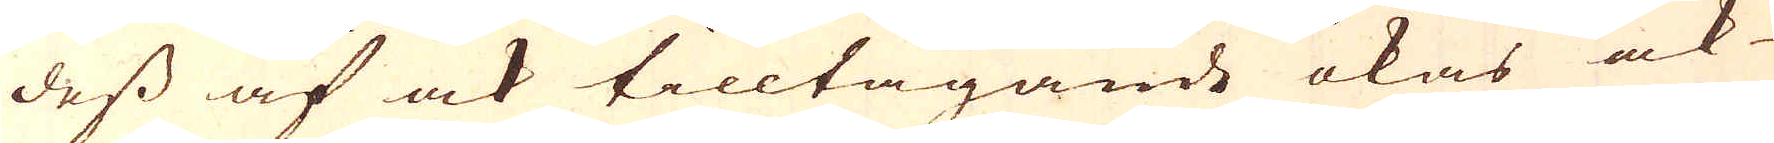dess af ock tilltagande ökas ock
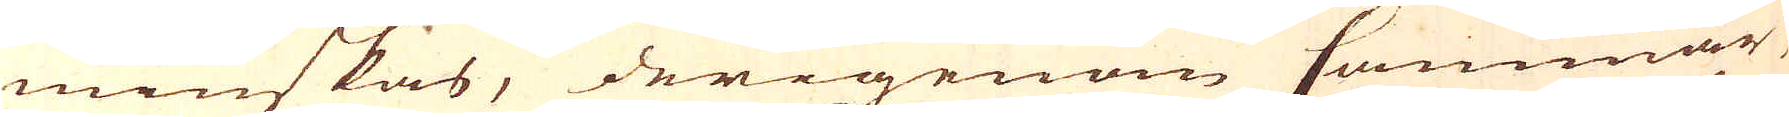minskas, derigenom Cammar
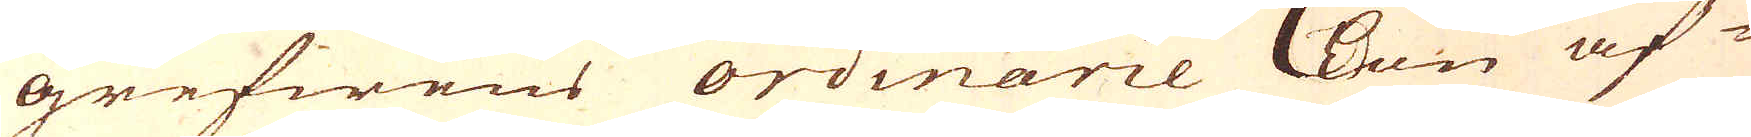grefwens ordinarie Lön af
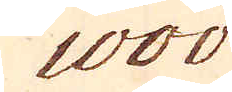1000
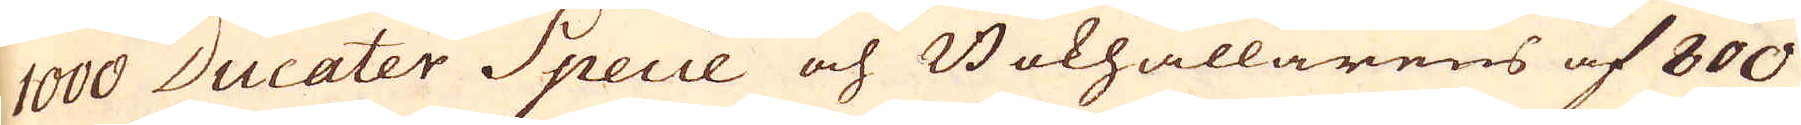1000 Ducater Specie och Bokhållarens af 800
